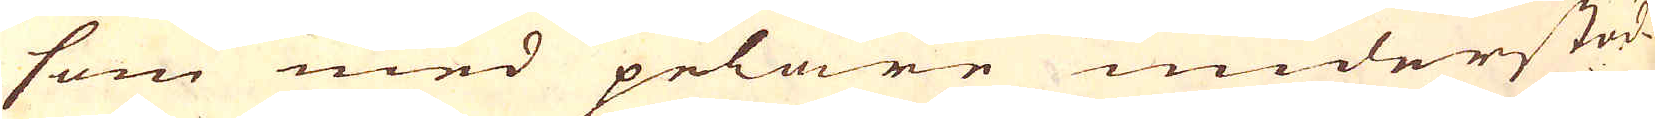som med pelare understöd-
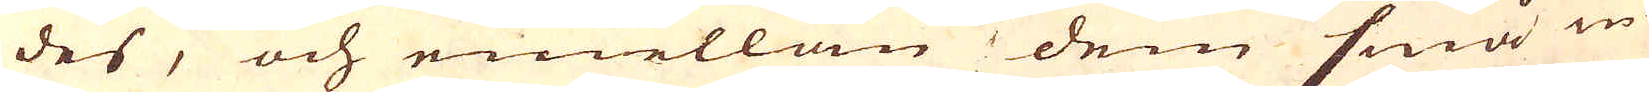des, och emellan dem små in-
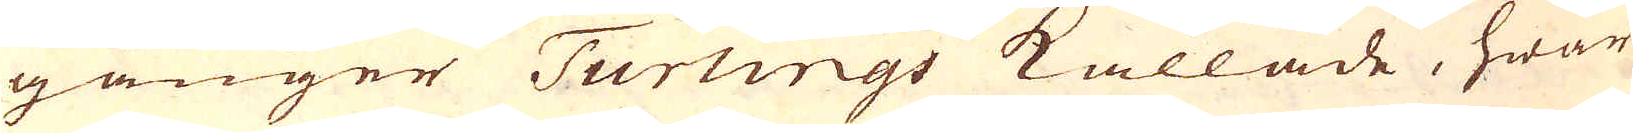gånger Turlings kallade, hwar
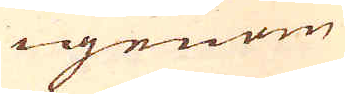igenom
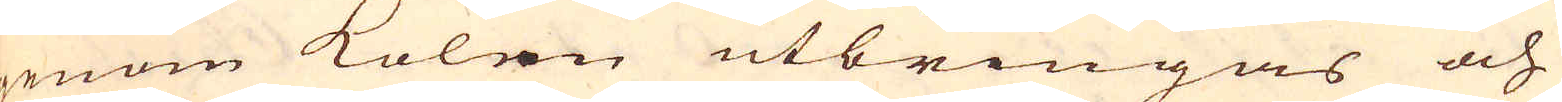genom kolen utbringas och
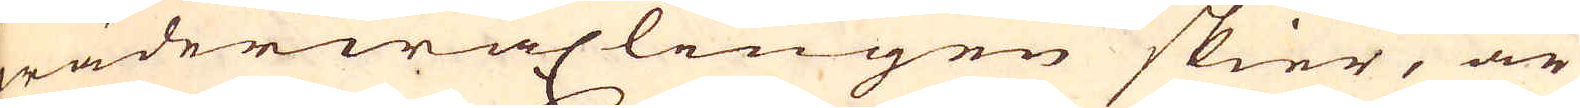wäderwäxlingen skier, är
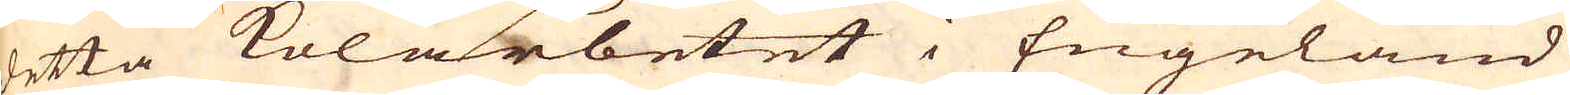detta kolarbetet i Engeland
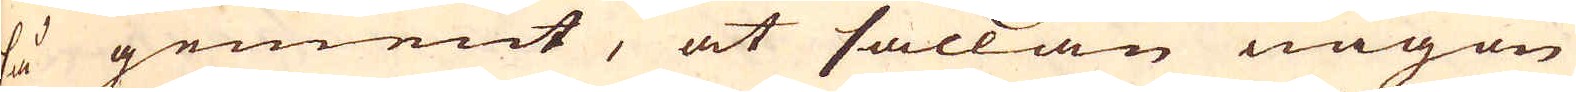så gement, at sällan någon
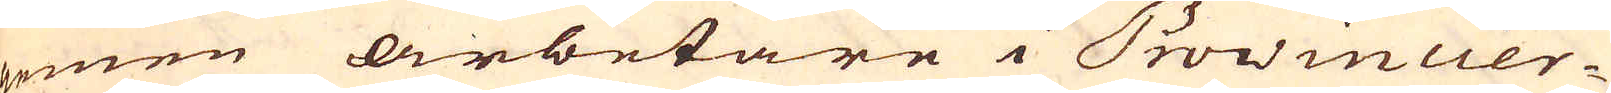gemen arbetare i Provincier-
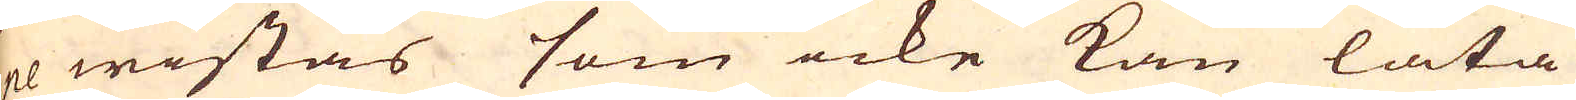ne wistas som icke kan låta
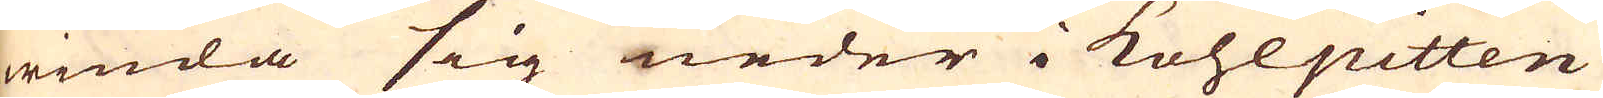winda sig neder i kohlpitten
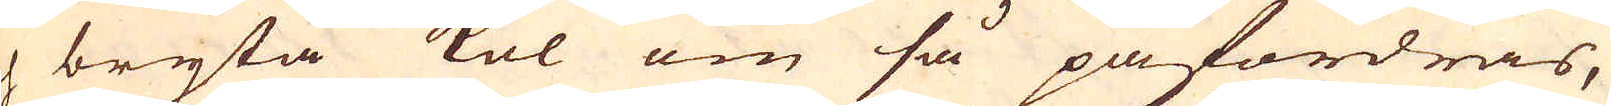och bryta kol om så påfordras,
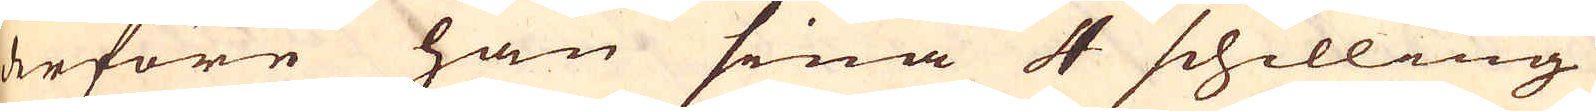derföre han sina 4 schilling
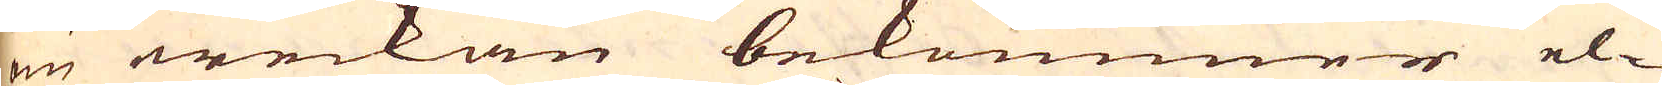om weckan bekommer el-
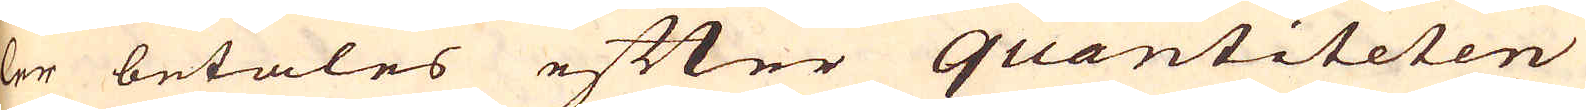ler betales efter quantiteten
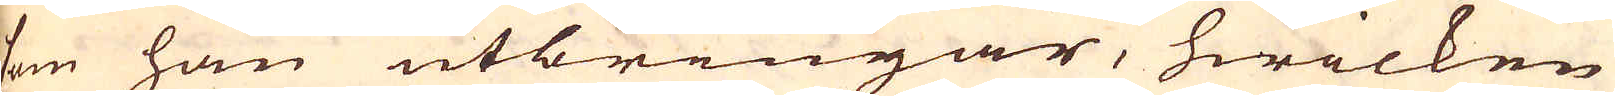som han utbringar, hwilken
